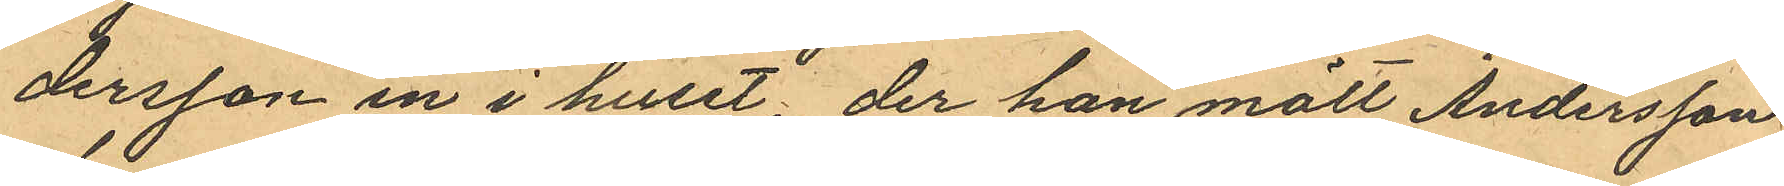dersson in i huset; der han mött Andersson
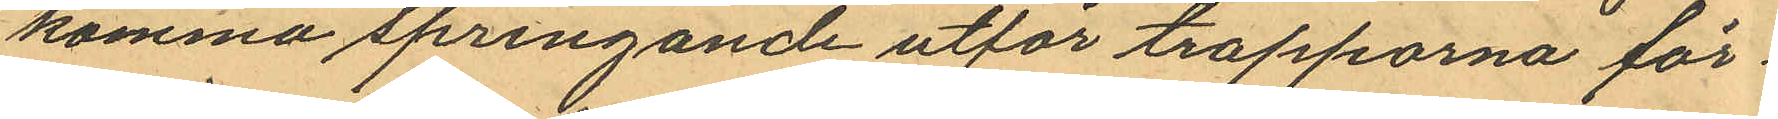komma springande utför trapporna för¬
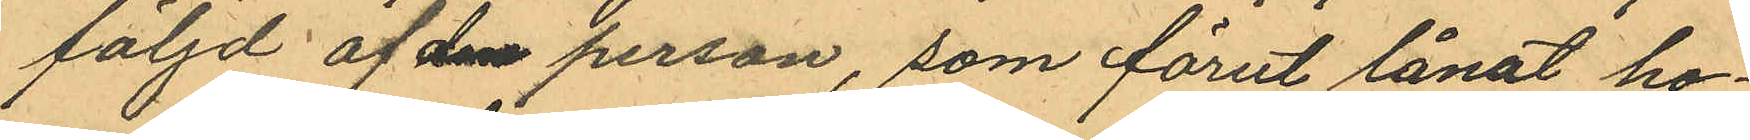följd af den person, som förut lånat ho¬
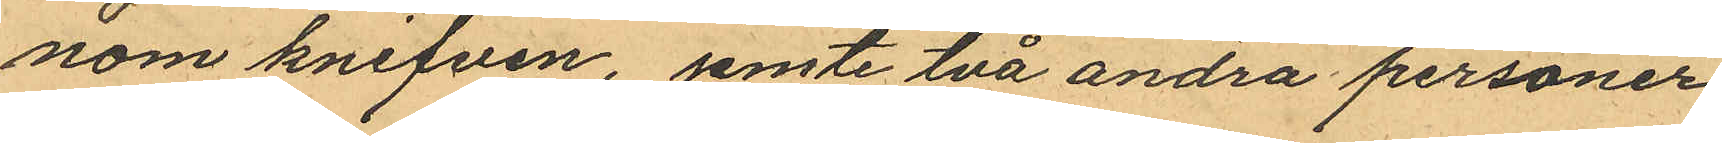nom knifven, jemte två andra personer
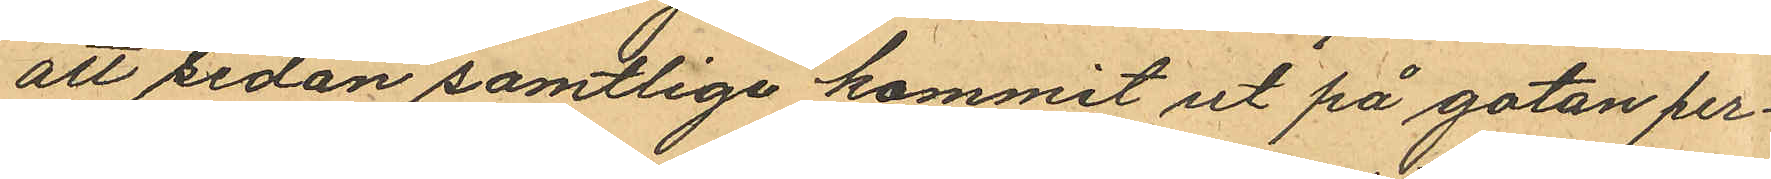att sedan samtlige kommit ut på gatan per¬
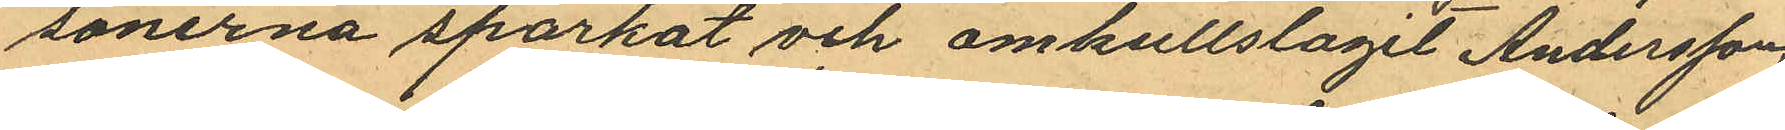sonerna sparkat och omkullslaget Andersson
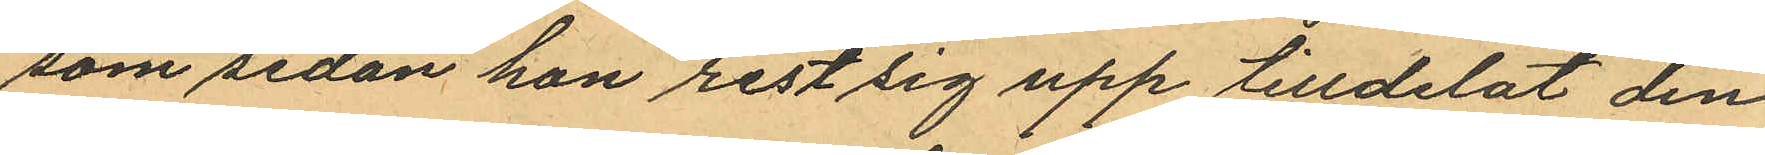som sedan han rest sig upp tilldelat den
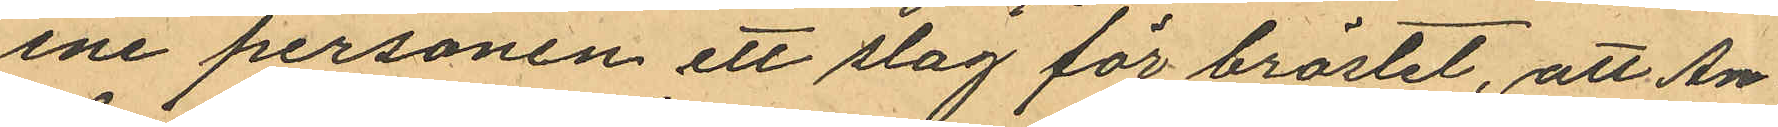ene personen ett slag för bröstet, att An¬
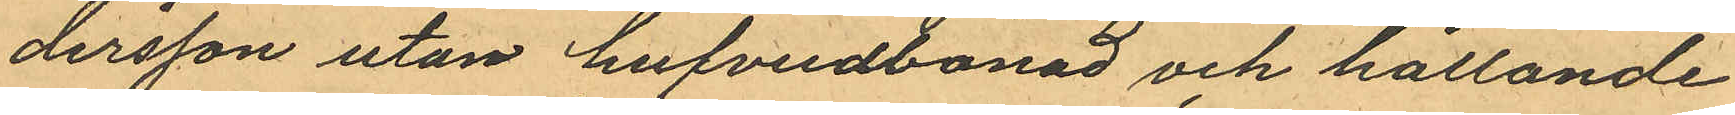dersson utan hufvudbonad och hållande
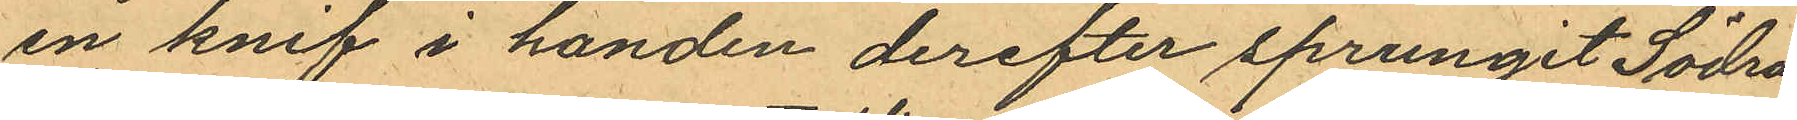en knif i handen derefter sprungit Södra
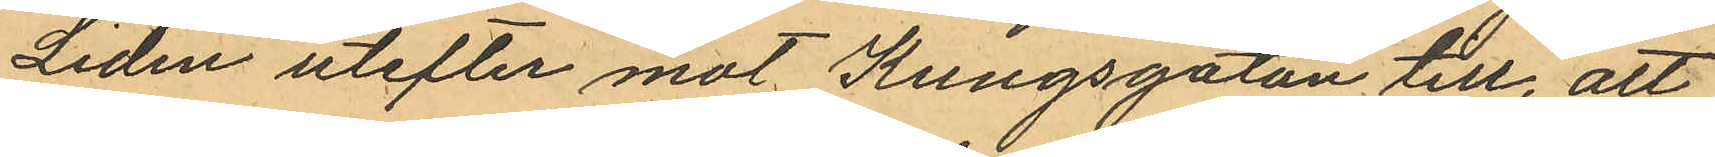Liden utefter mot Kungsgatan till, att
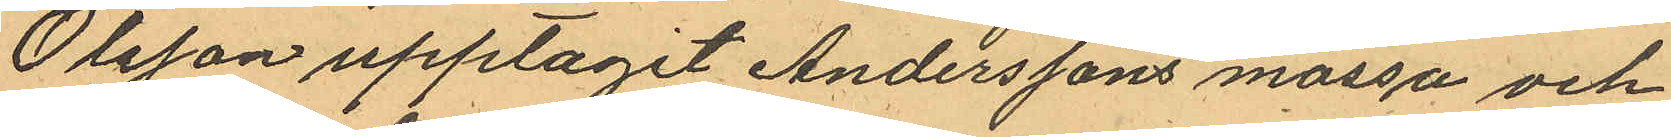Olsson upptagit Anderssons mössa och
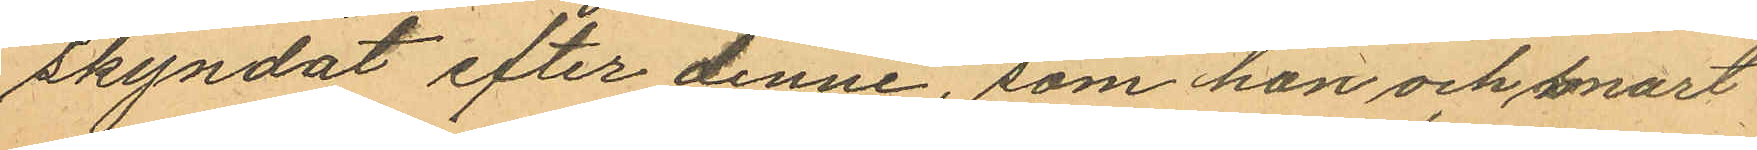skyndat efter denne, som han och snart
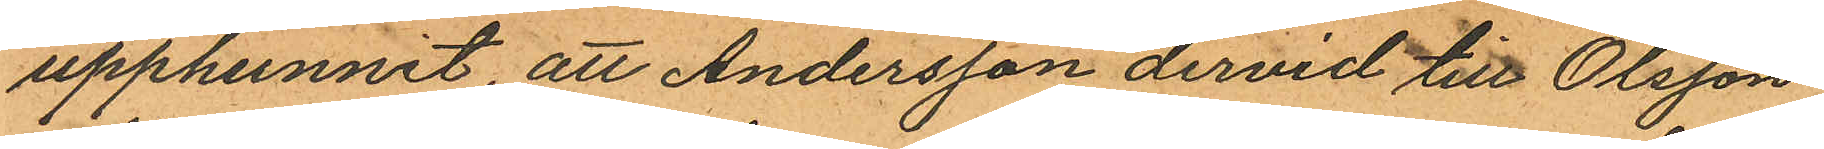upphunnit, att Andersson dervid till Olsson
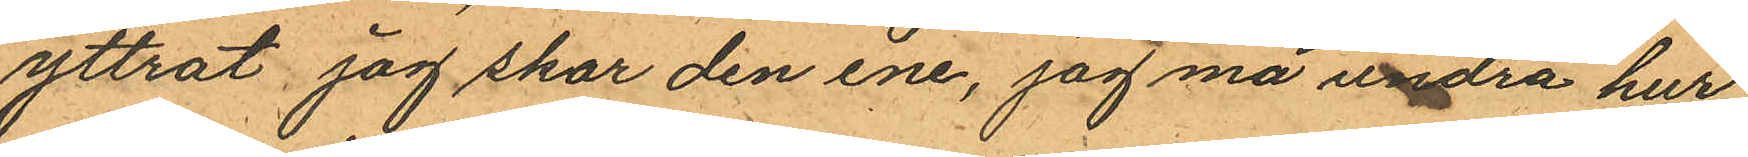yttrat, jag skar den ene, jag må undra hur
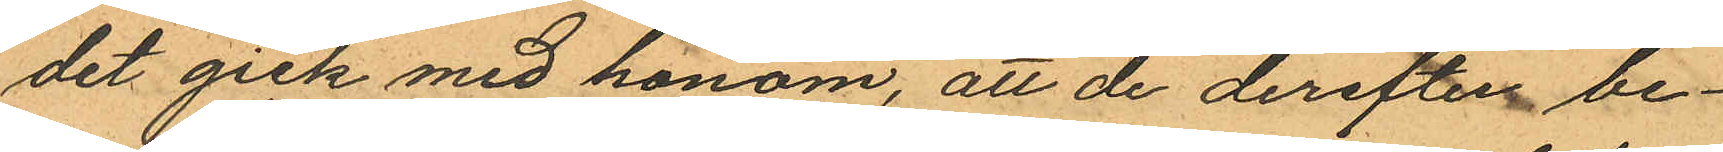det gick med honom, att de derefter be¬
